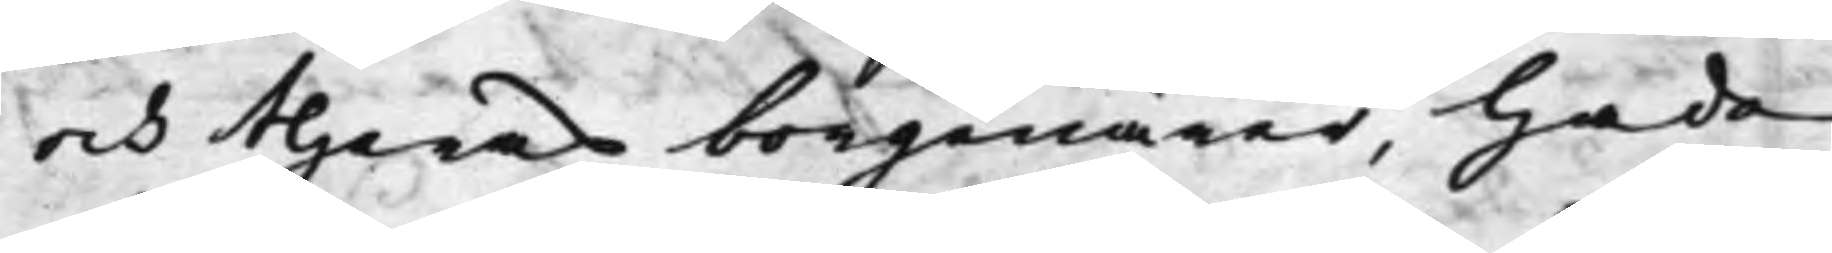och theras borgenärer, hade
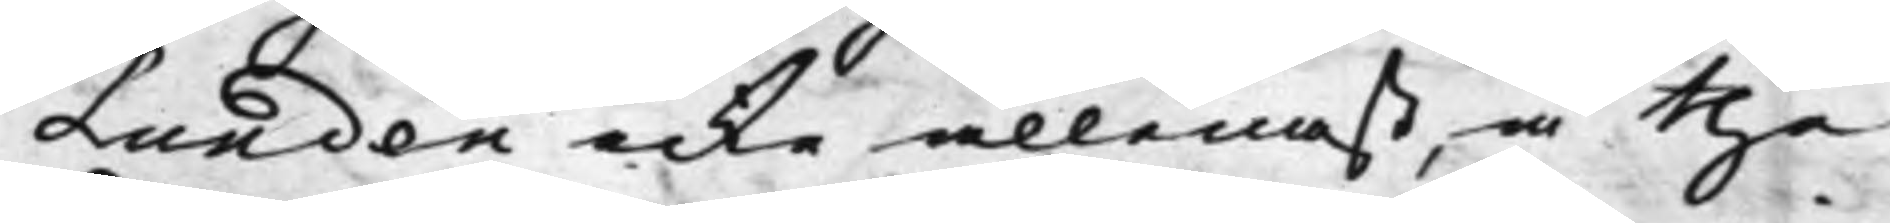Lundén icke allenast, å the
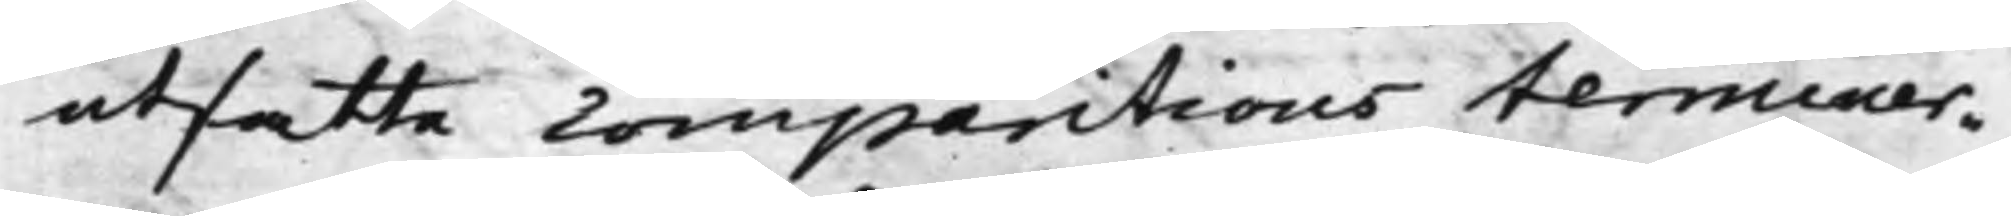utsatte comparitions terminer¬
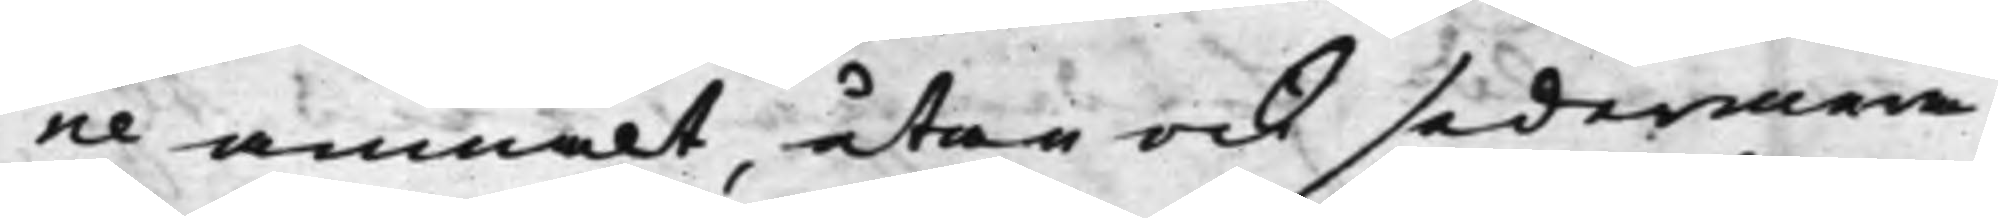ne anmält, utan ock sedermera
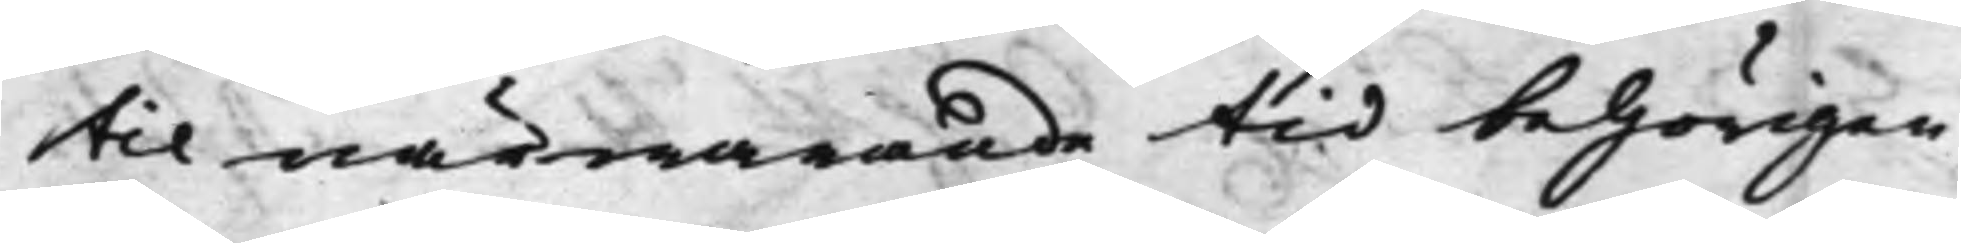til närwarande tid behörigen
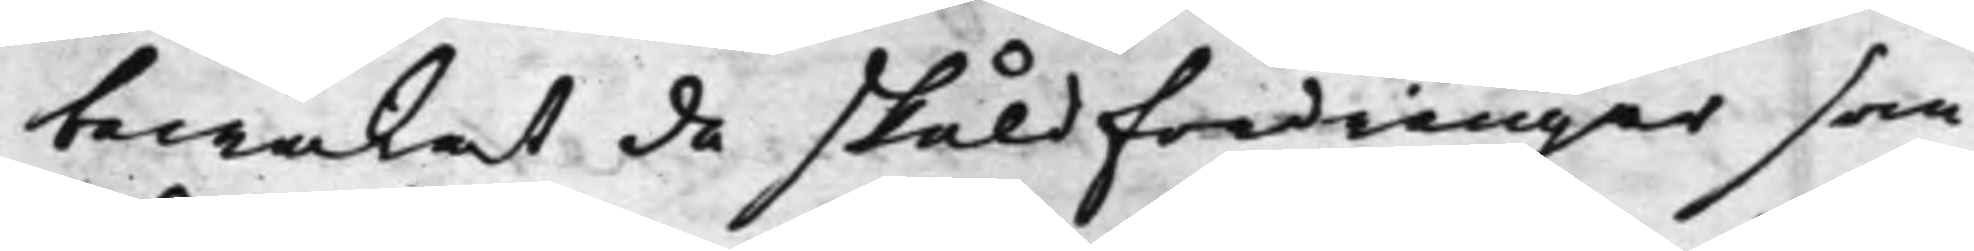bewakat de skuldfordringar som
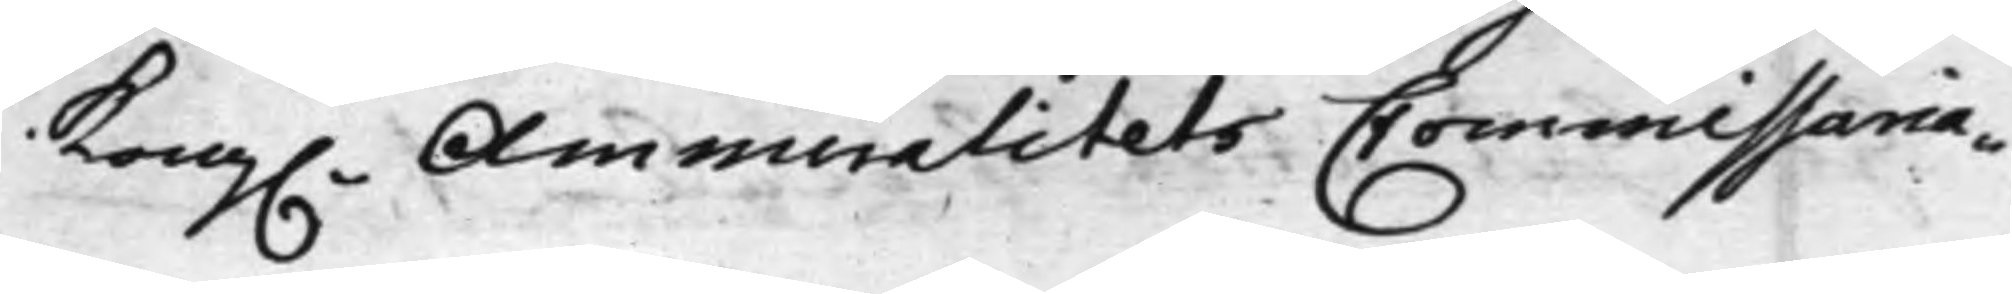Kong. Ammiralitets Commissaria¬
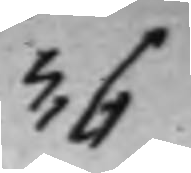36
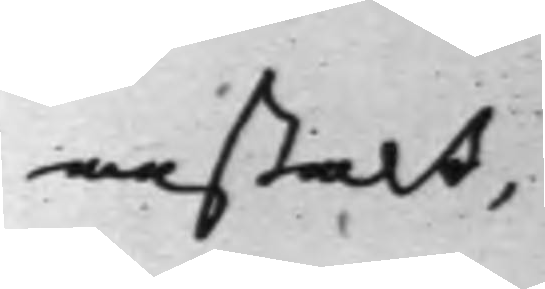anstalt,
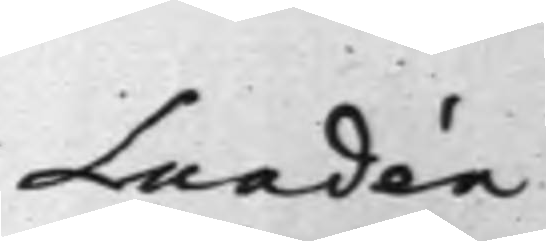Lundén
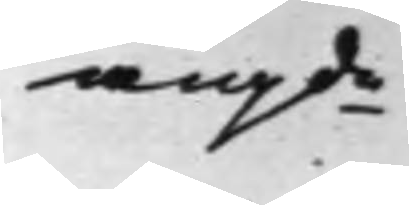angde
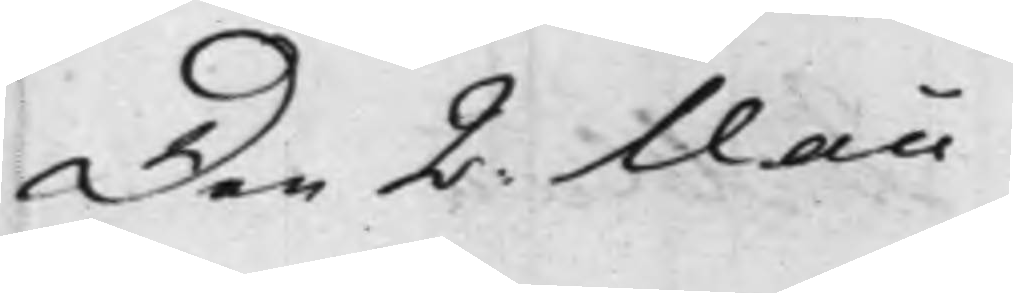Den 2. Maii
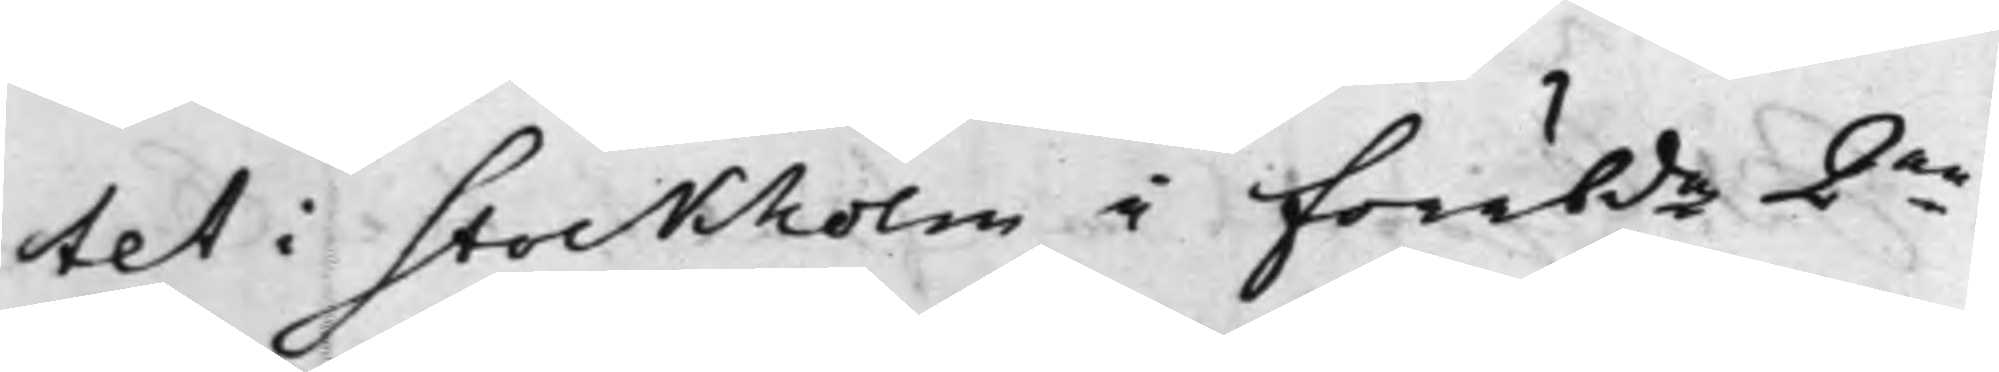tet i Stockholm i förebde 2ne
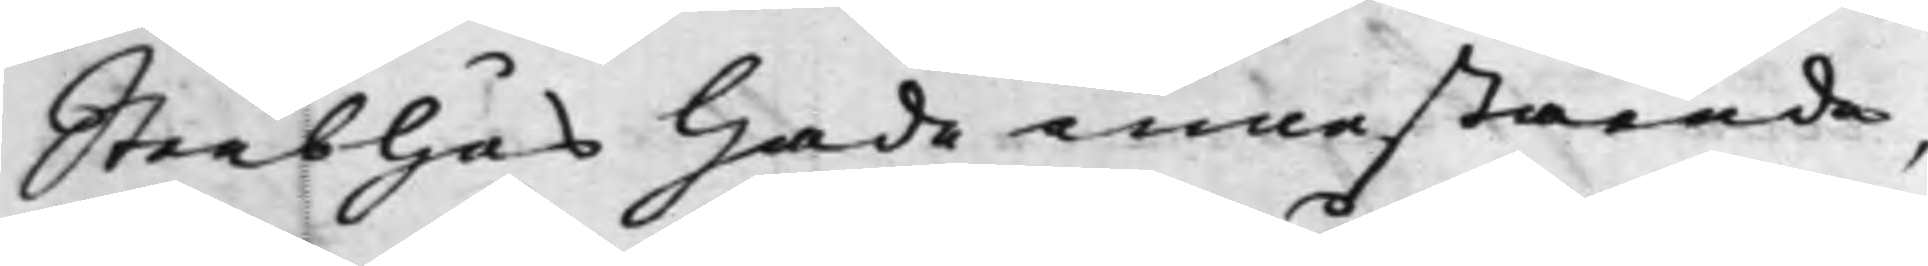Sterbhus hade innestående,
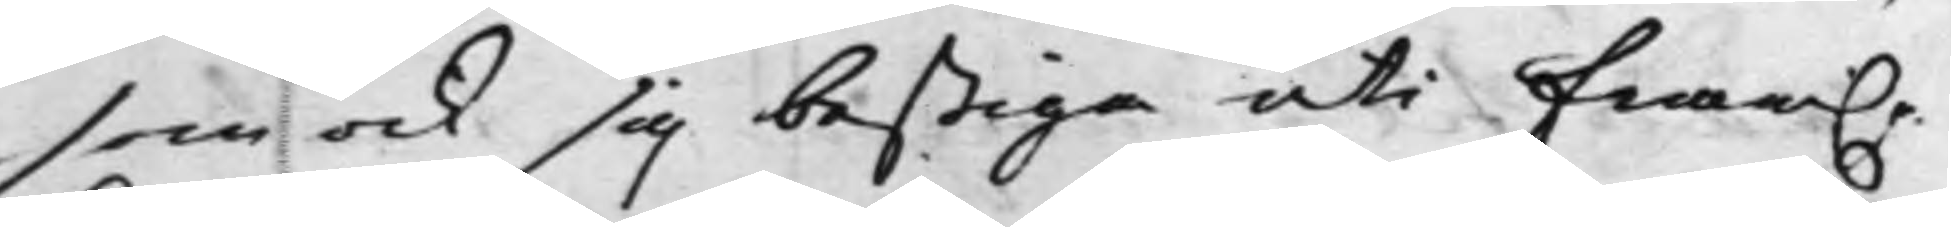som ock sig bestiga uti fram.e
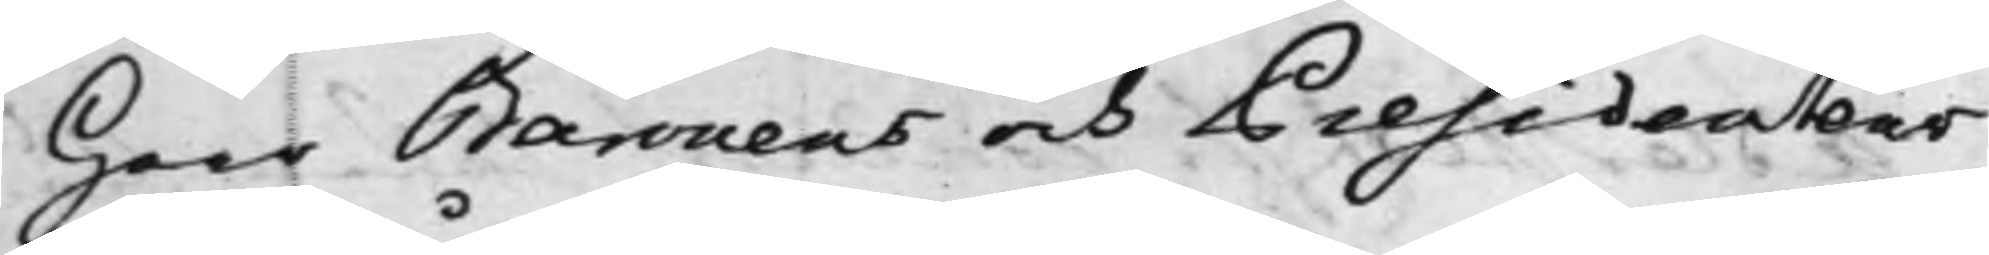Herr Baronens och Presidentens
